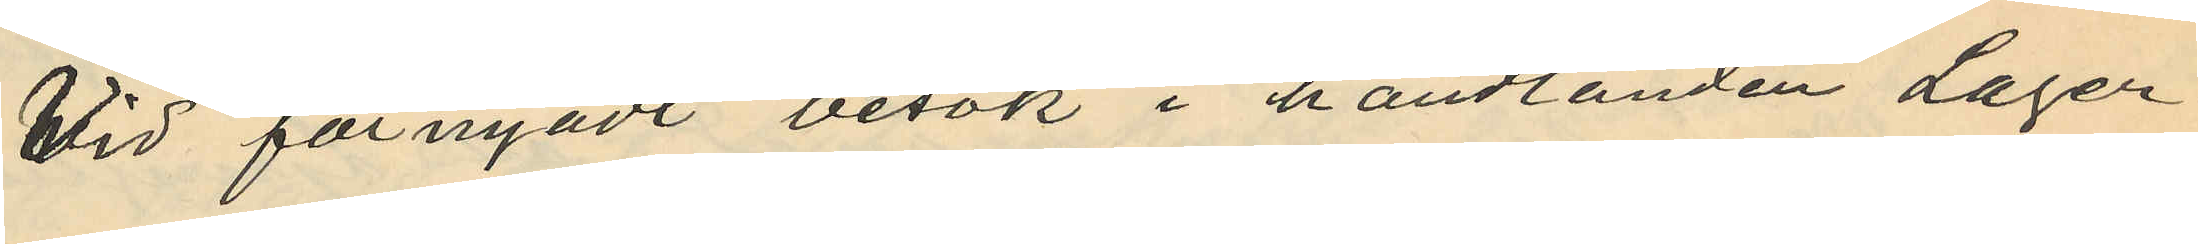Vid förnyadt besök i handlanden Lager¬
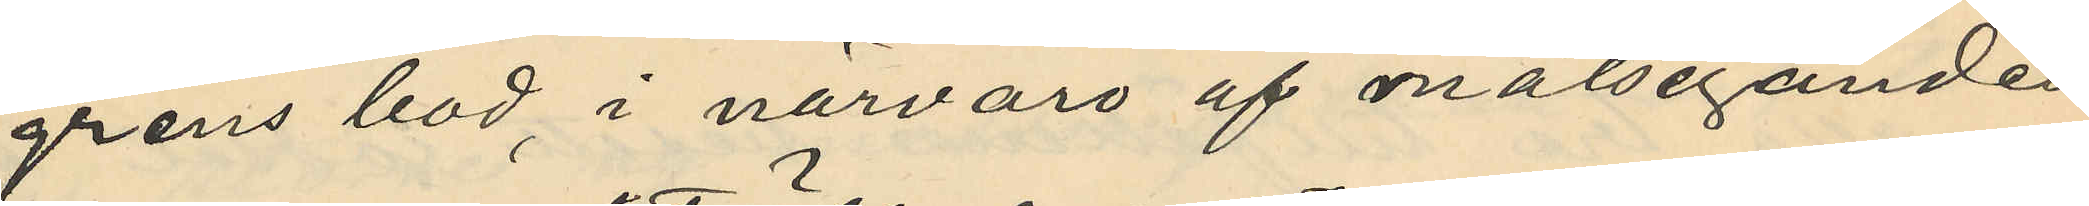grens bod, i närvaro af målseganden
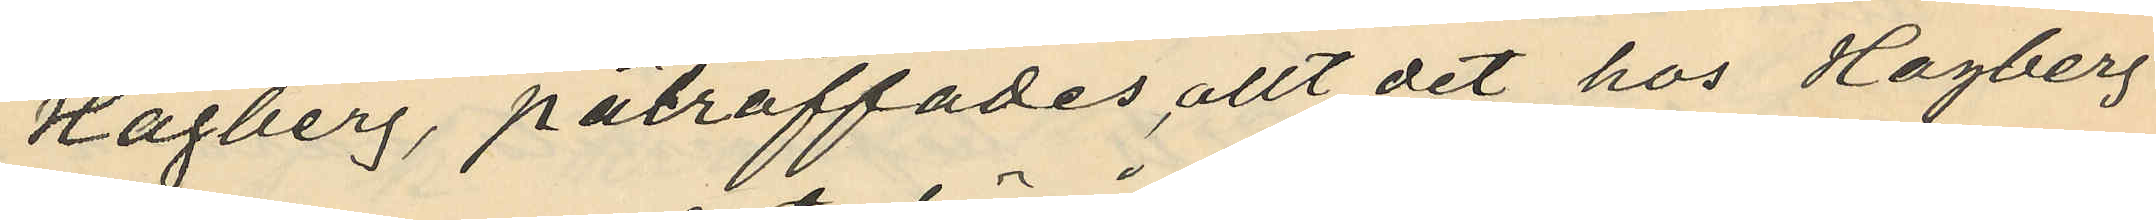Hagberg, påträffades allt det hos Hagberg
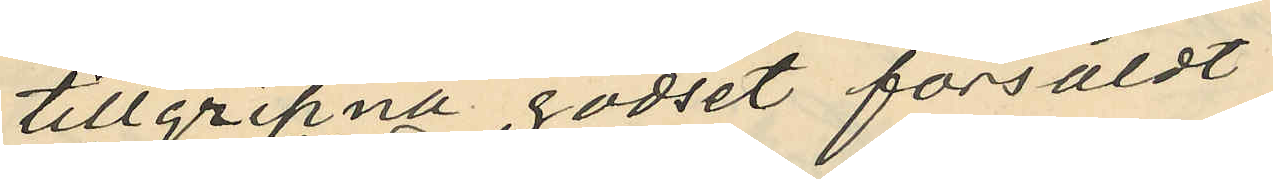tillgripna godset försåldt
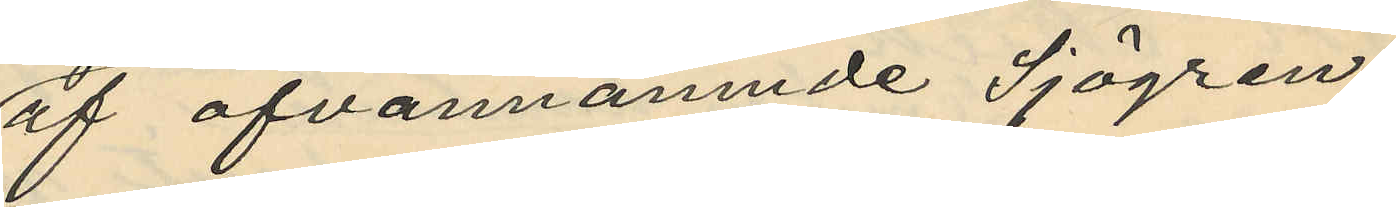af ofvannämnde Sjögren
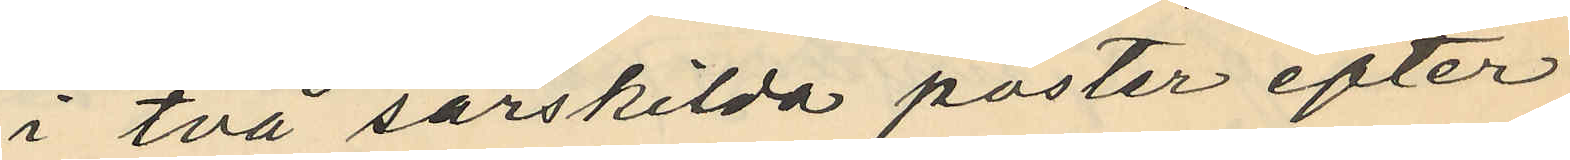i två särskilda poster efter
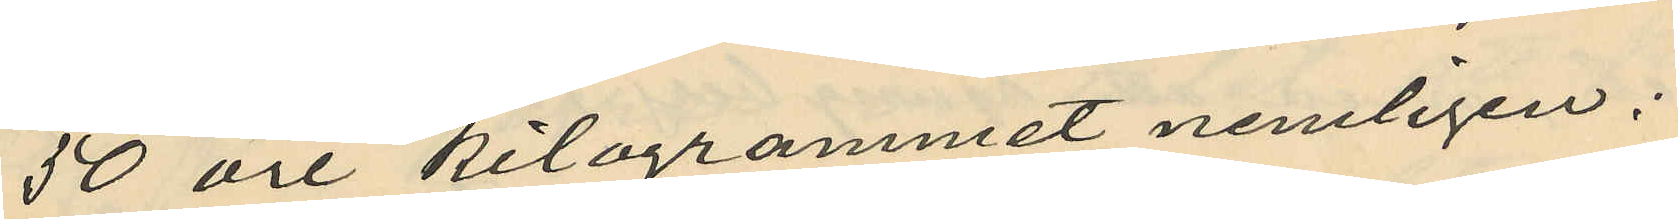50 öre kilogrammet, nemligen;
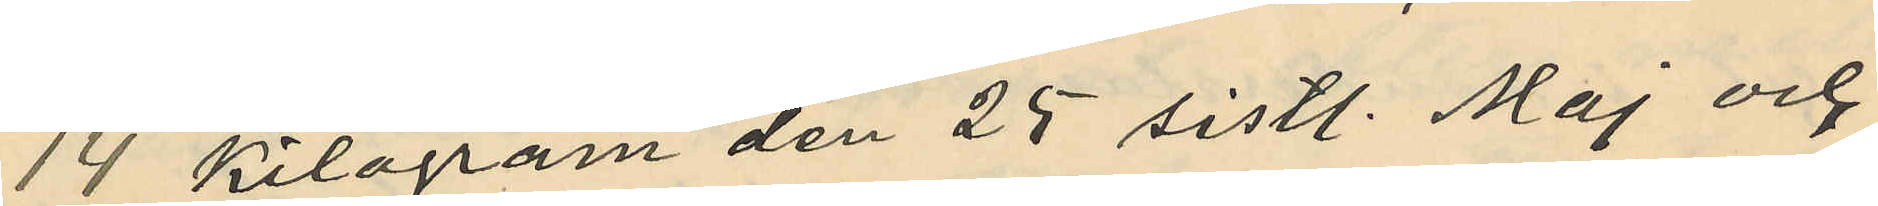14 Kilogram den 25 sistl. Maj och
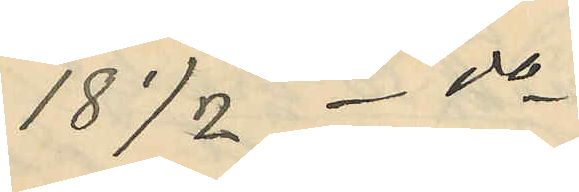18 1/2 - do -
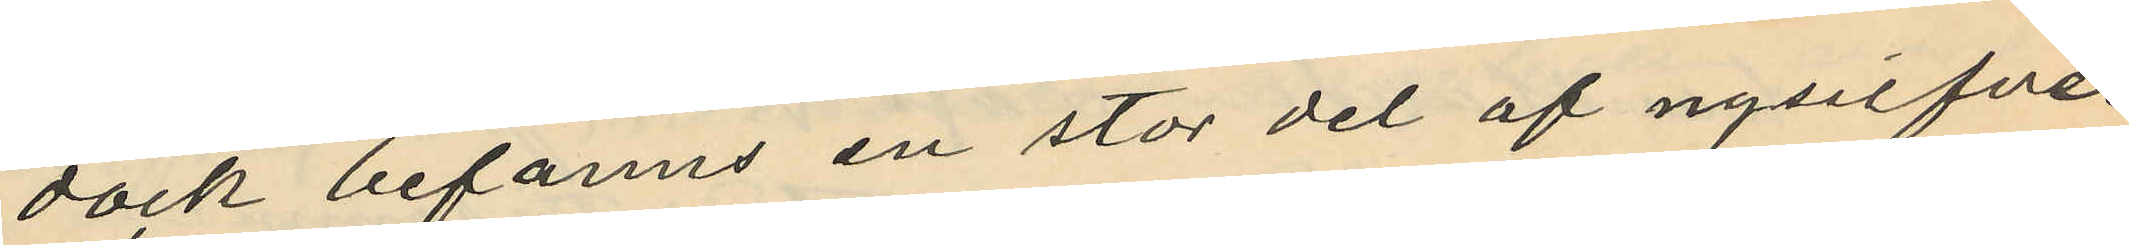dock befanns en stor del af nysilfver¬
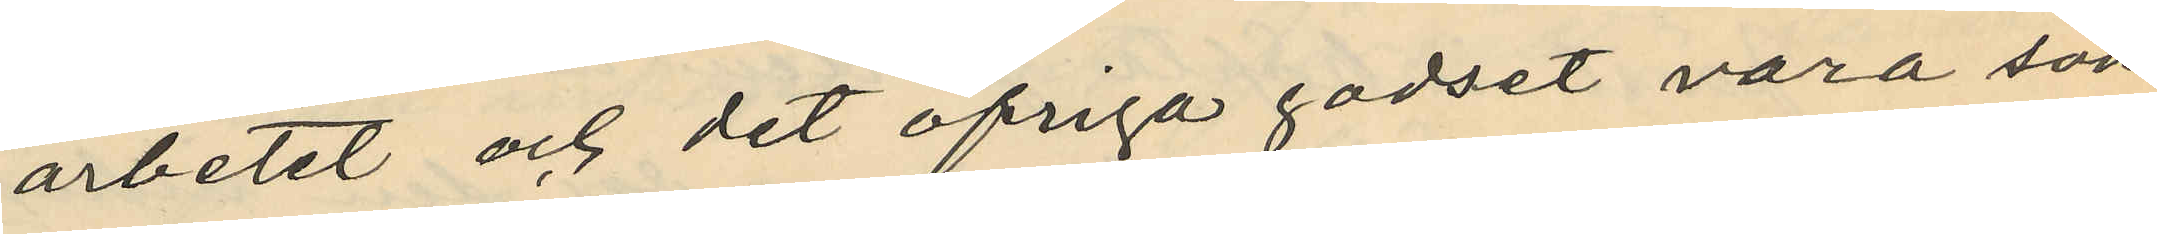arbetet och det öfriga godset vara sön¬
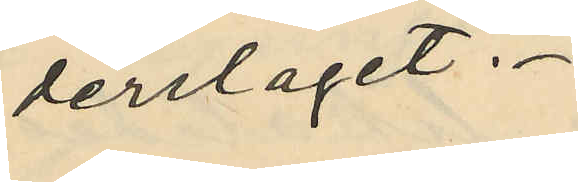derslaget.
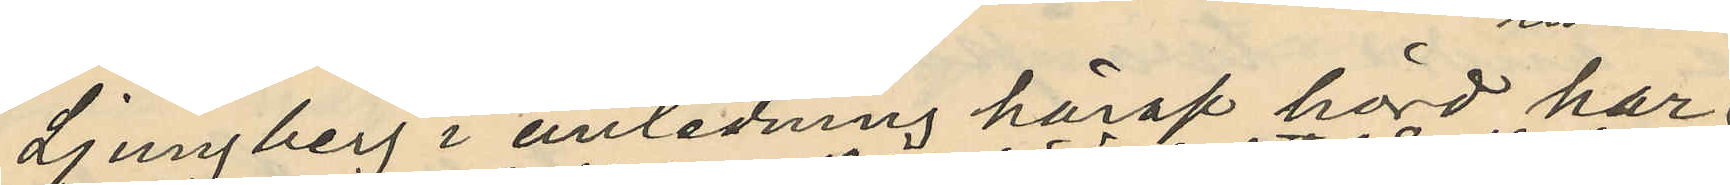Ljungberg i anledning häraf hörd har
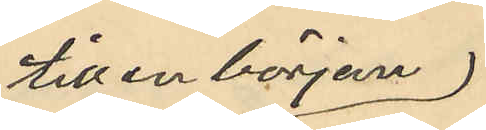till en början
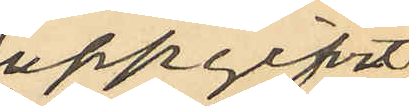uppgifvit
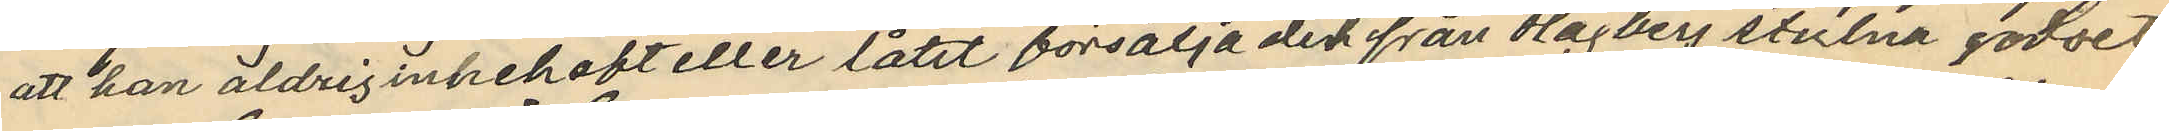att han aldrig innehaft eller låtit försälja det från Hagberg stulna godset
